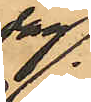dag
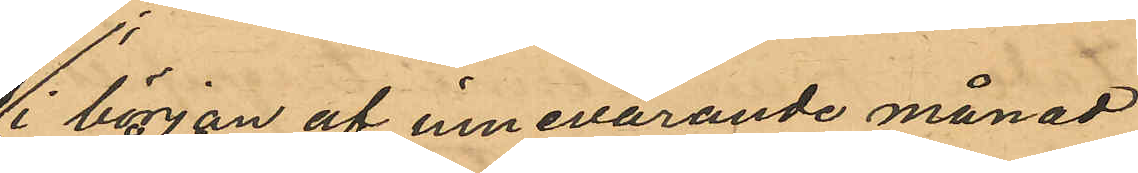i början af innevarande månad
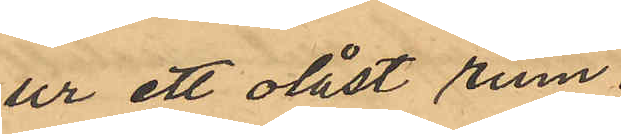ur ett olåst rum
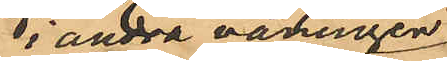i andra våringen
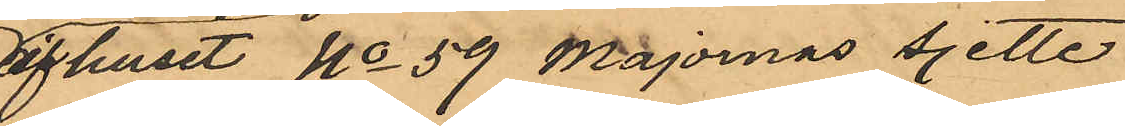af huset No 59 Majornas sjette
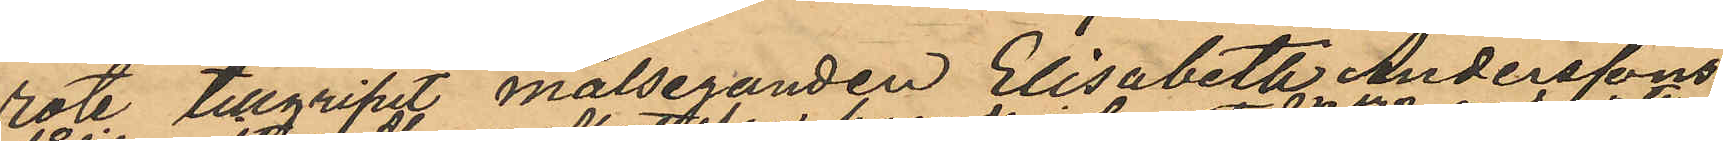rote tillgripit målseganden Elisabeth Anderssons
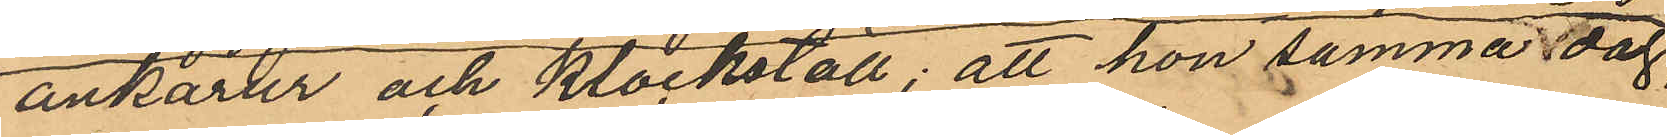ankarur och klockställ; att hon samma dag
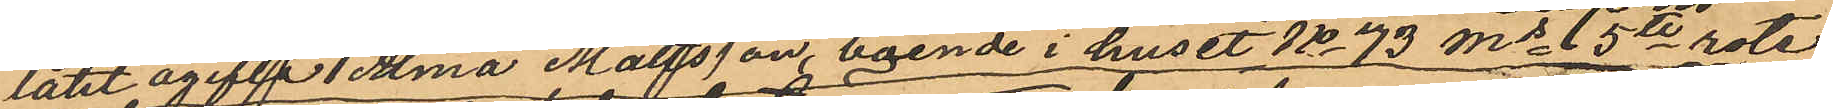låtit ogifta Alma Mattsson, boende i huset No 73 Ms 5te rote
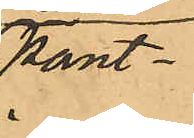pant¬
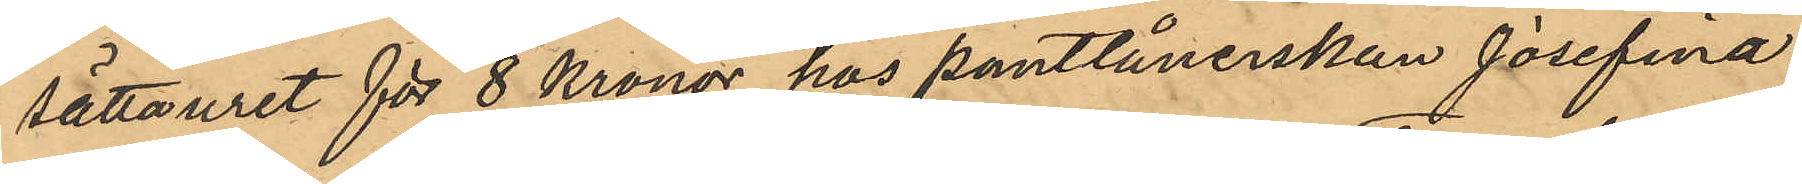sätta uret för 8 Kronor hos pantlånerskan Josefina
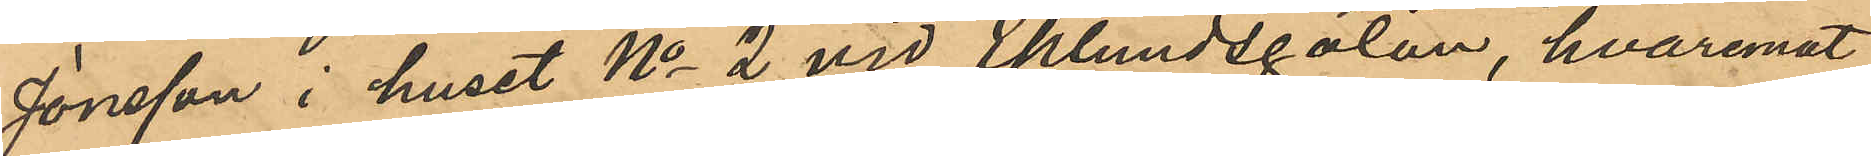Jonsson i huset No 2 vid Eklundsgatan, hvaremot
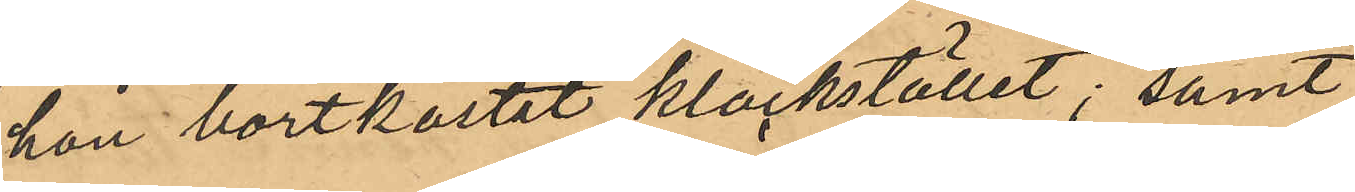hon bortkastat klockstället; samt
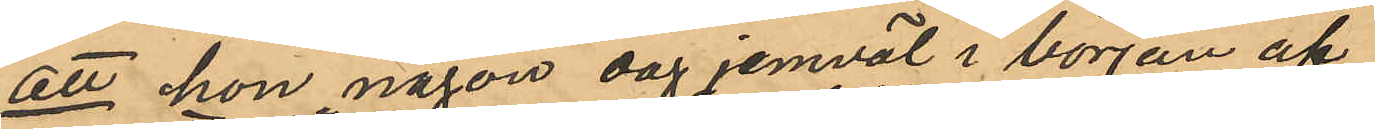att hon någon dag jemväl i början af
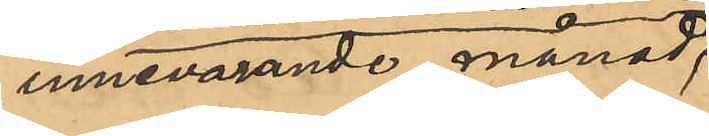innevarande månad,
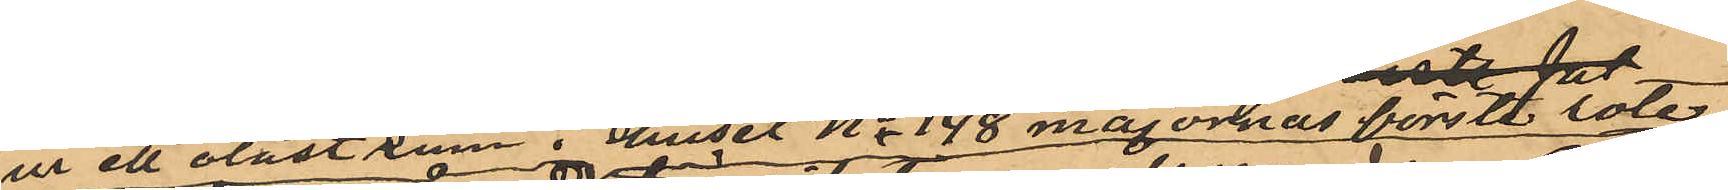ur ett olåst rum i huset No 148 majprnas förste rote
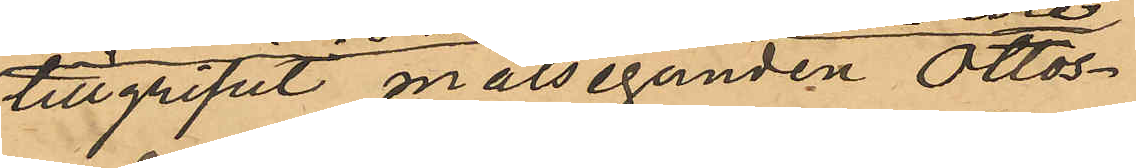tillgripit målseganden Ottos¬
